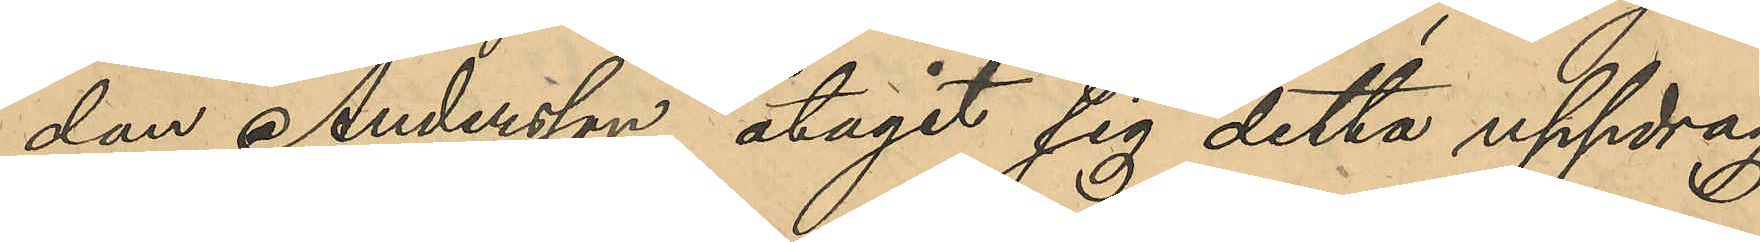dan Andersson åtagit sig detta uppdrag,
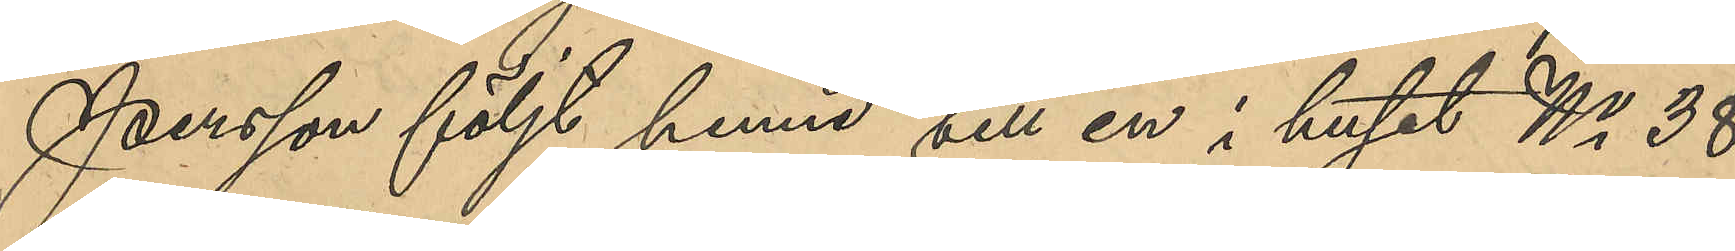Persson följt henne till en i huset No 38
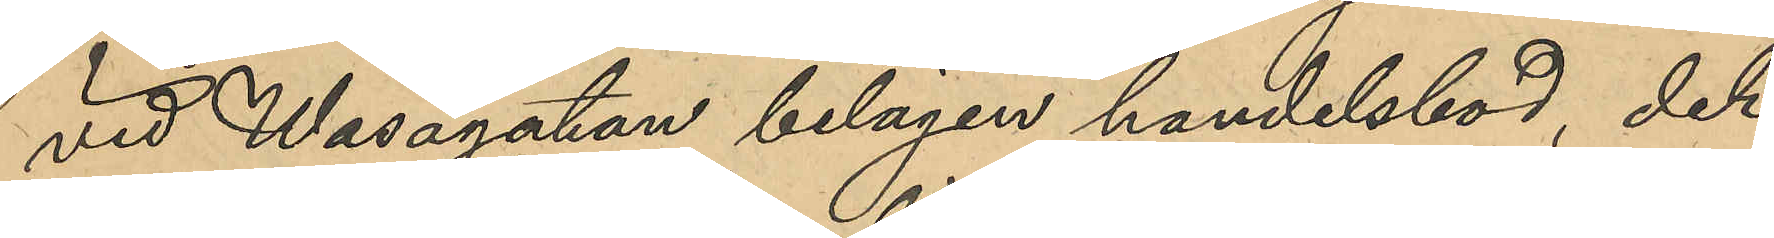vid Vasagatan belägen handelsbod, der
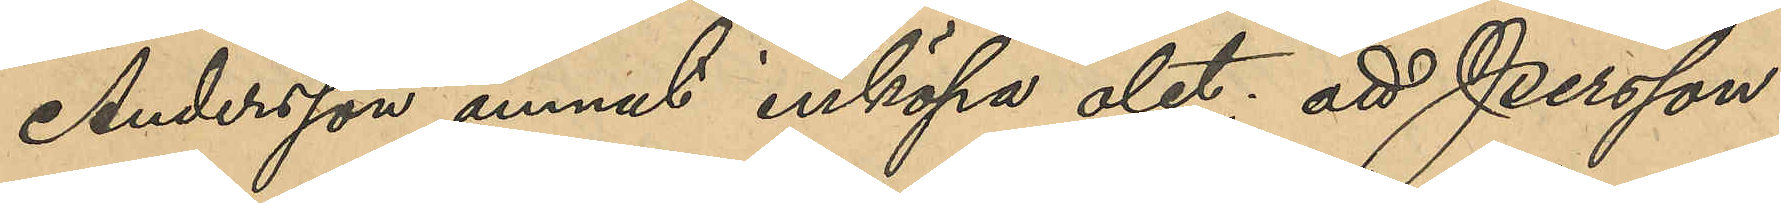Andersson ämnat inköpa ölet; att Persson
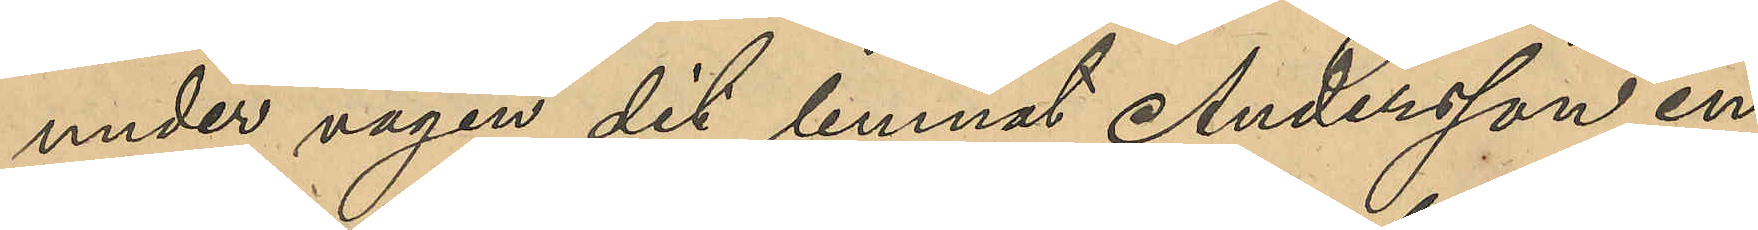under vägen dit lemnat Andersson en
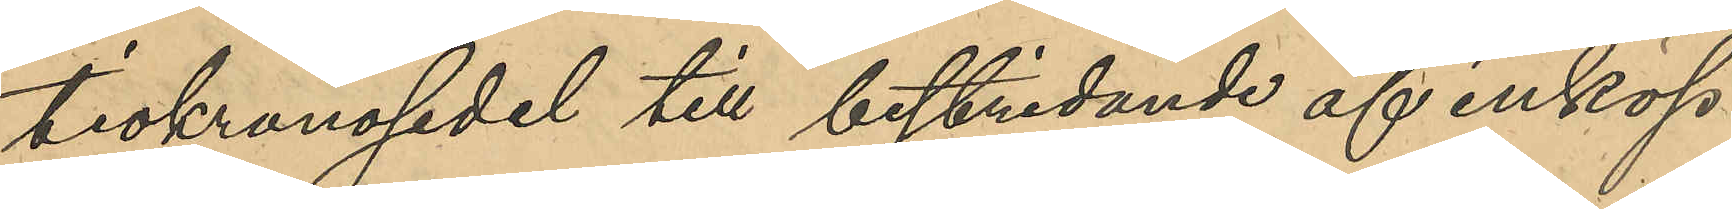tiokronosedel till bestridanden af inköp
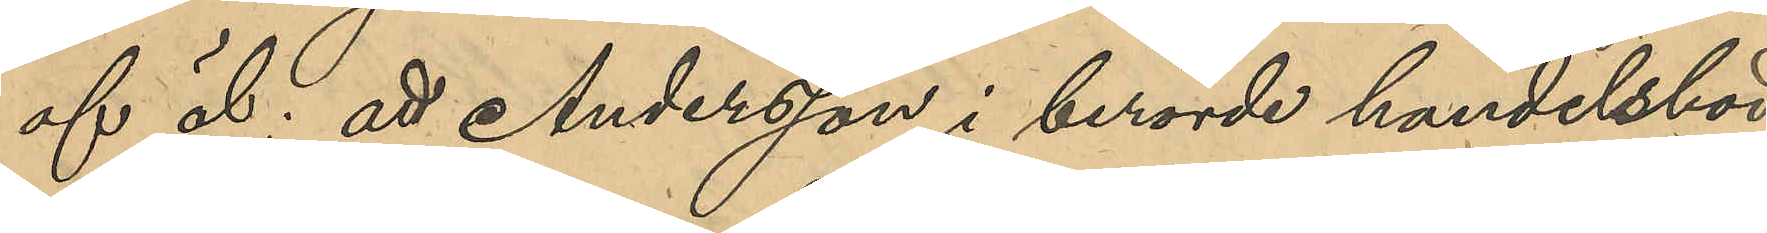af öl; att Andersson i berörde handelsbod
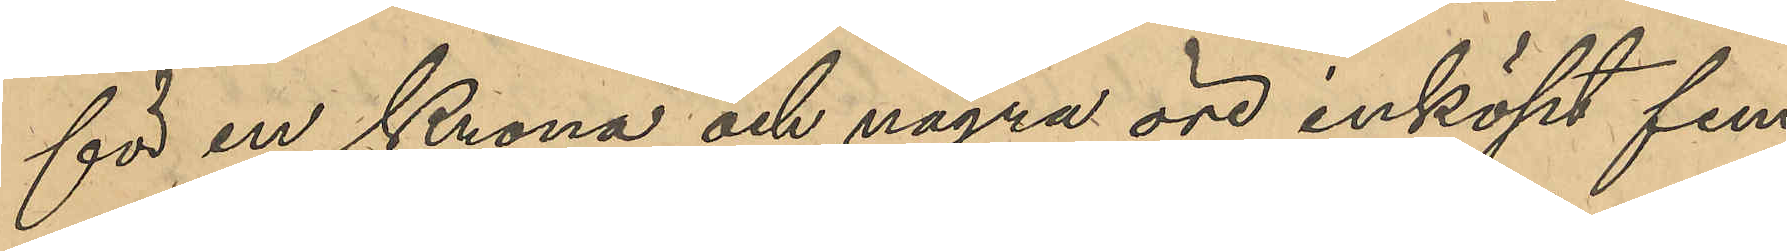för en Krona och några öre inköpt fem
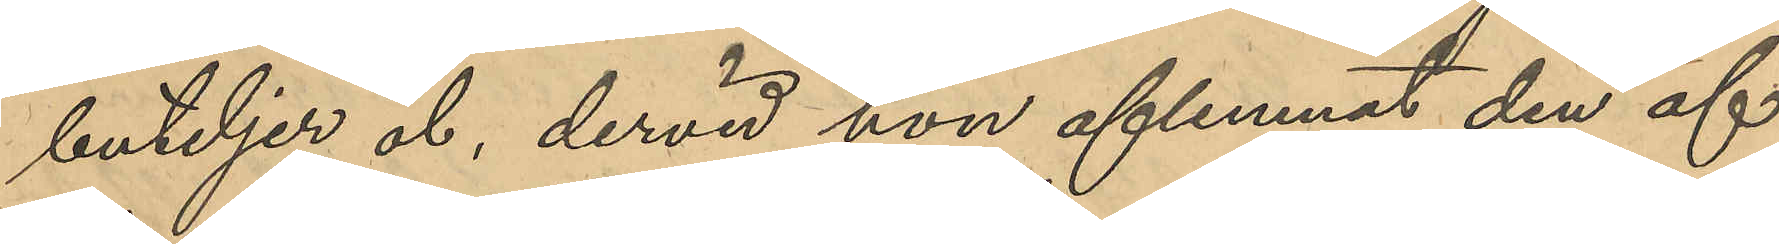buteljer öl, dervid hon aflemnat den af
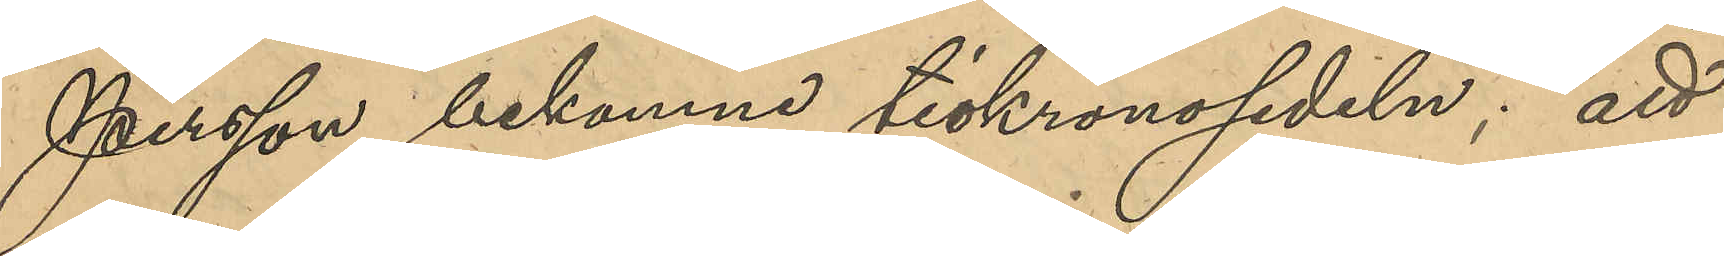Persson bekomne tiokronosedeln; att
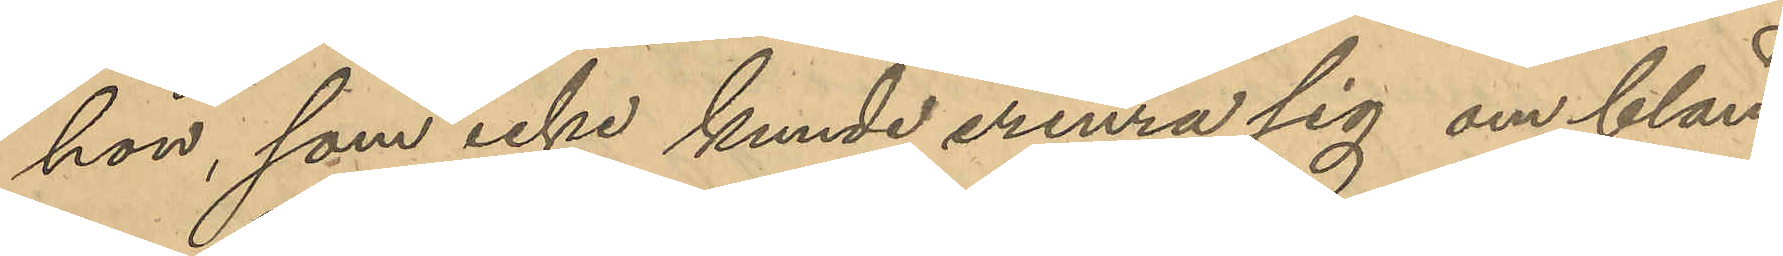hon, som icke kunde erinra sig om bland
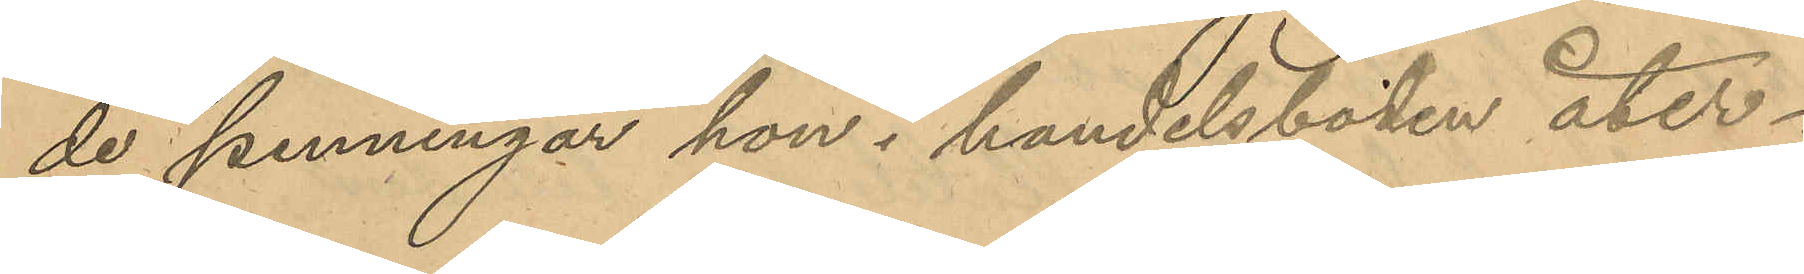de penningar hon i handelsboden åter¬
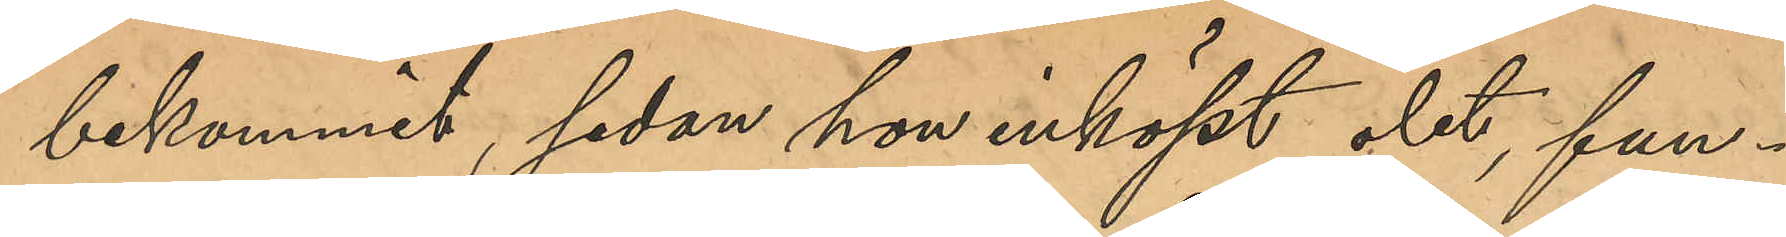bekommit, sedan hon inköpt ölet, fun¬
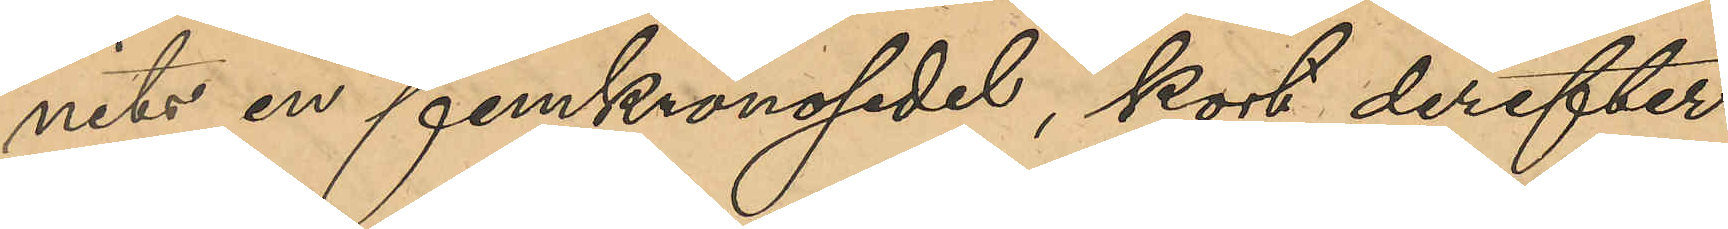nits en femkronosedel, kort derefter
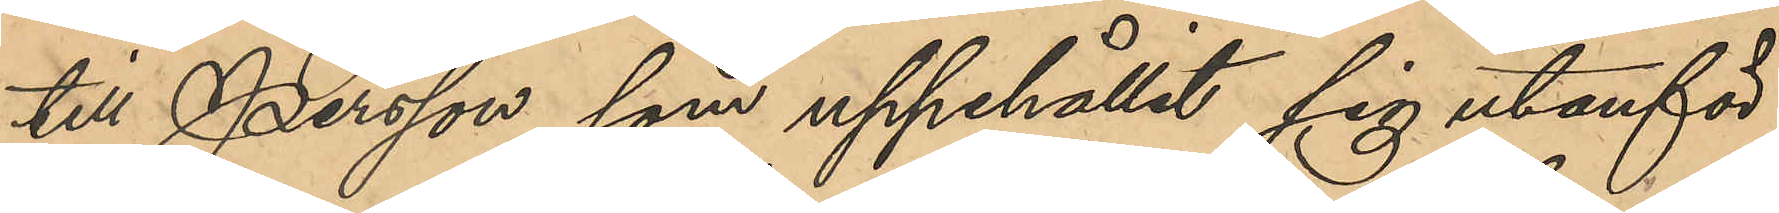till Persson, som uppehållit sig utanför
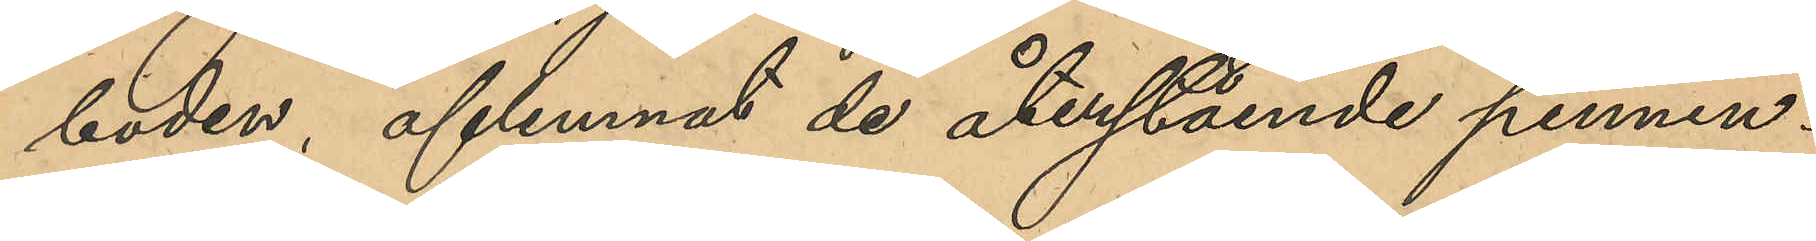boden, aflemnat de återstående pennin¬
